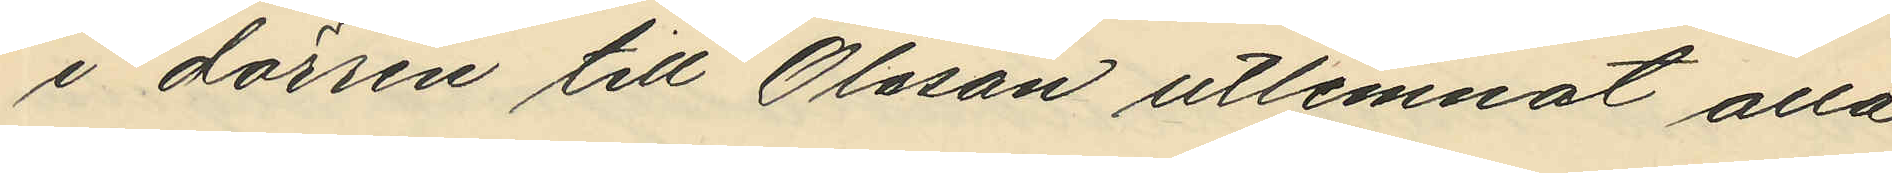i dörren till Olsson utlemnat alla
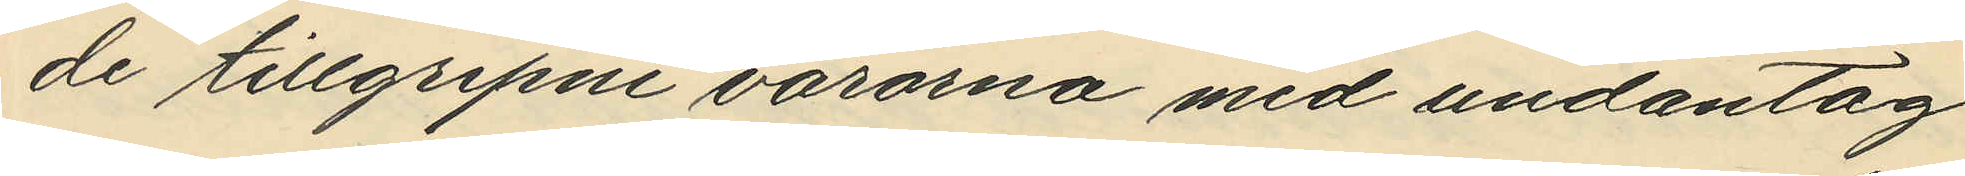de tillgripne varorna med undantag
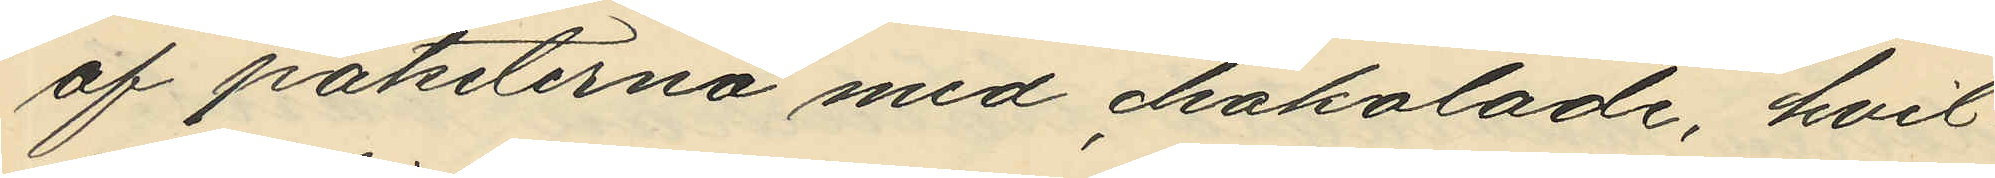af paketerna med chokolade, hvil¬
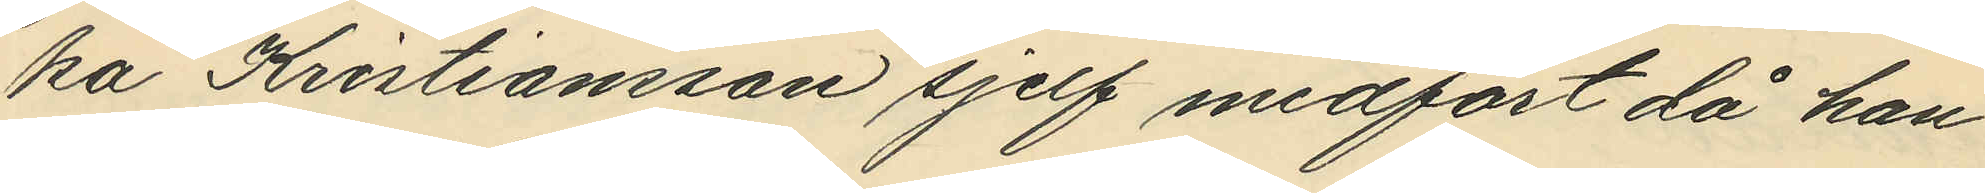ka Kristiansson sjelf medfört då han
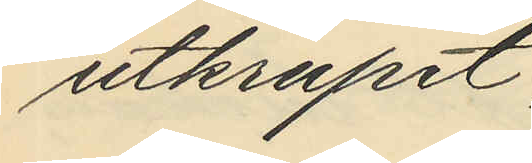utkrupit,
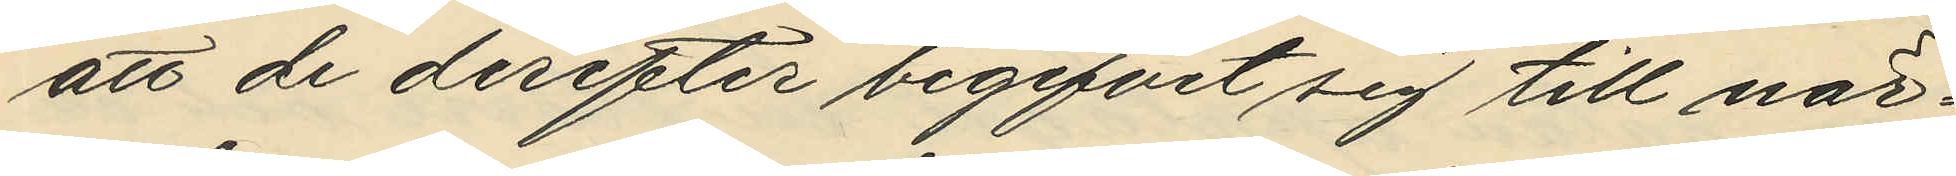att de derefter begifvit sig till när¬
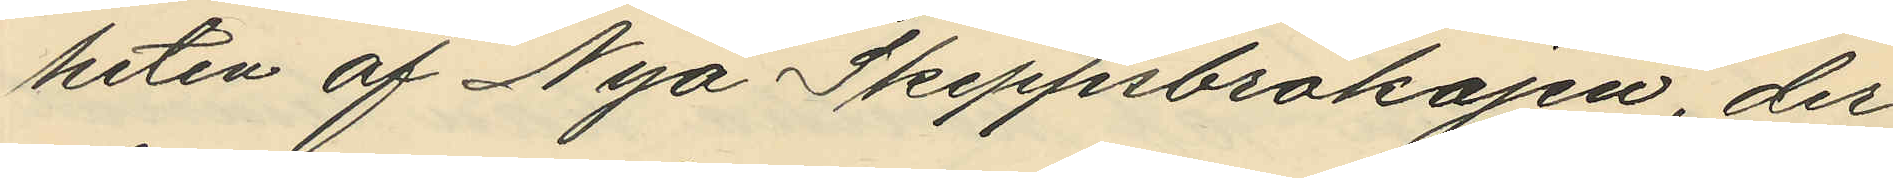heten af Nya Skeppsbrokajen, der
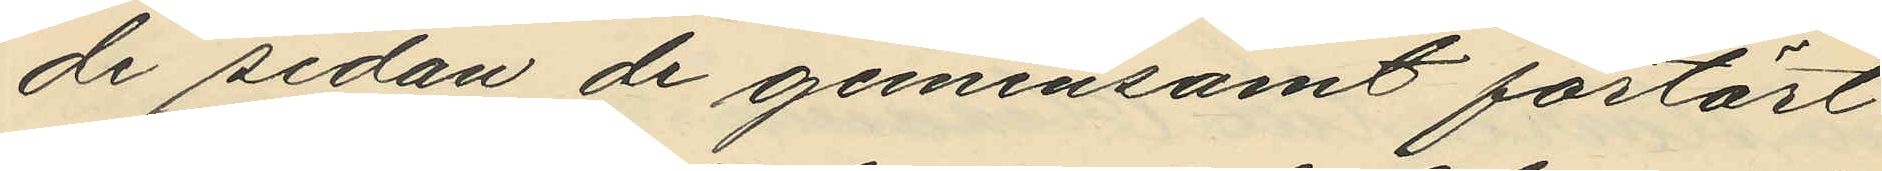de sedan de gemensamt förtärt
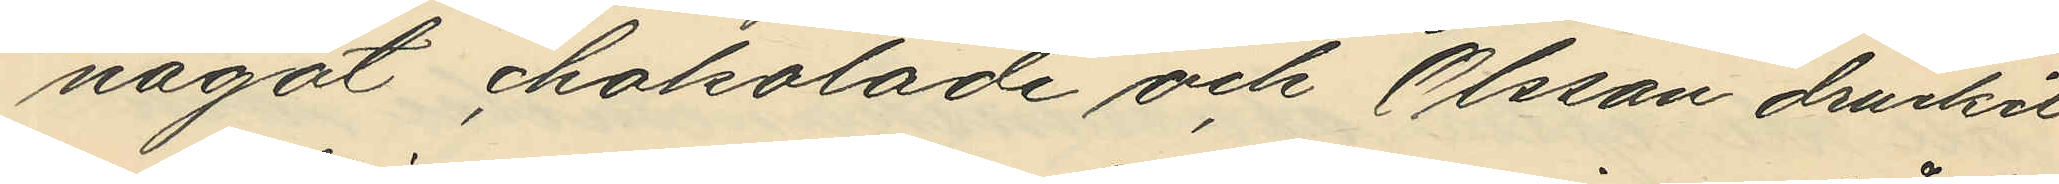något chokolade och Olsson druckit
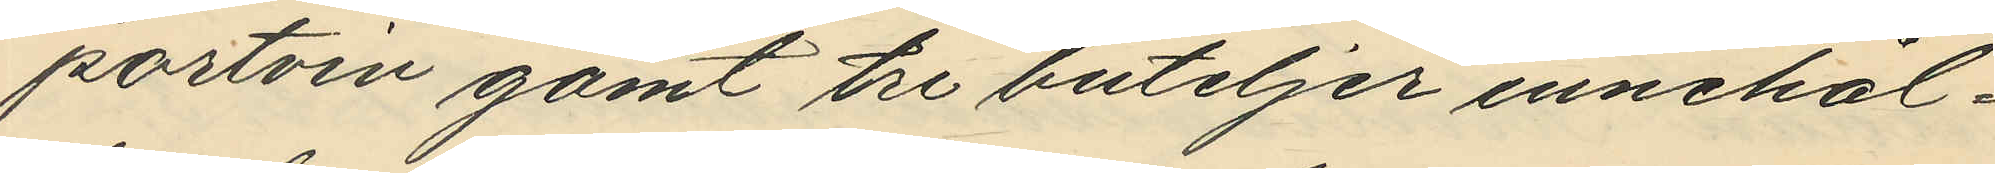portvin gömt tre buteljer innehål¬
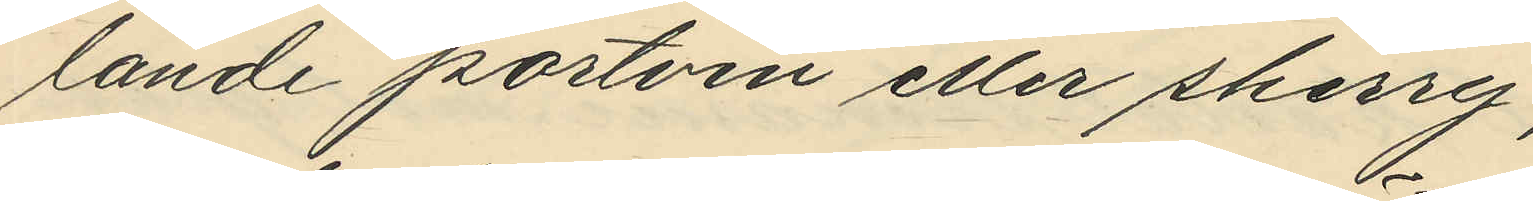lande portvin eller sherry,
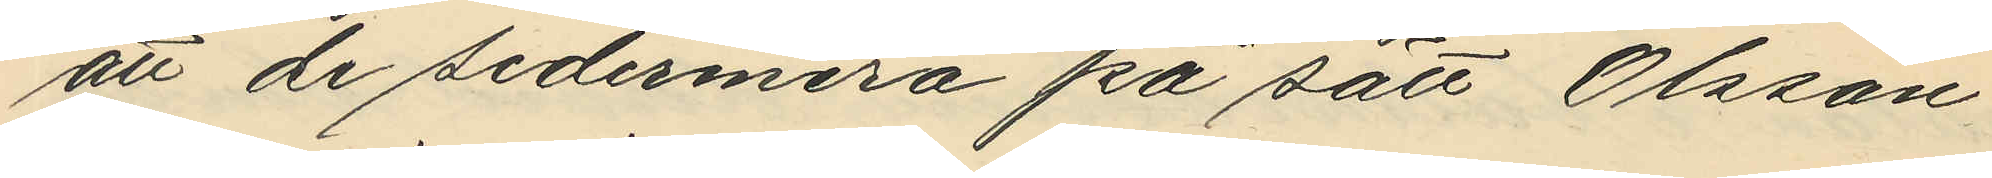att de sedermera på sätt Olsson
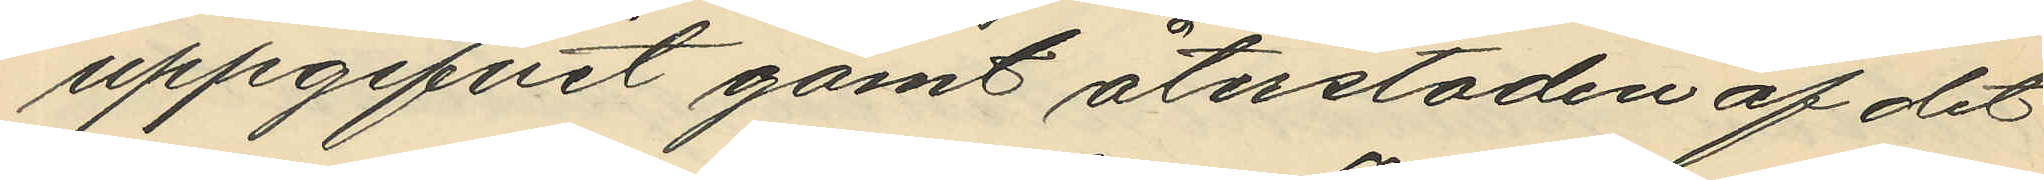uppgifvit gömt återstoden af det
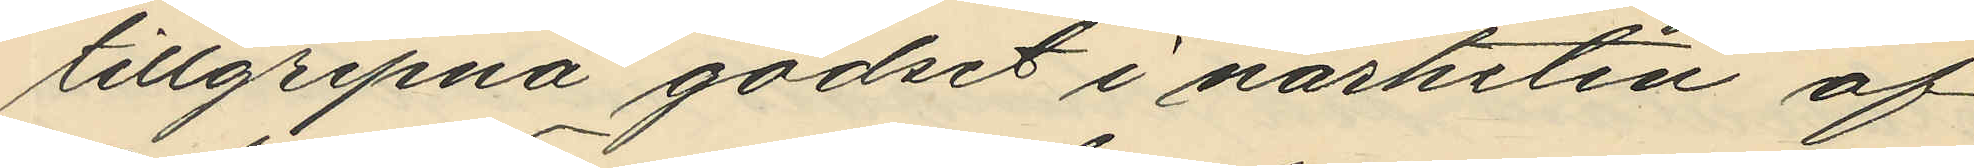tillgripna godset i närheten af
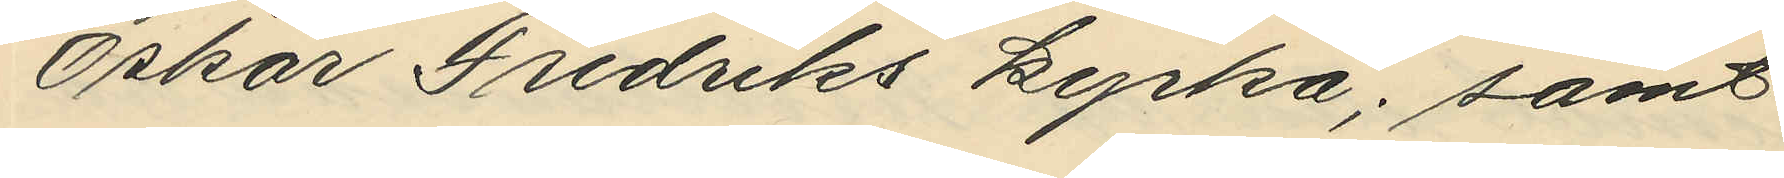Oskar Fredriks kyrka; samt
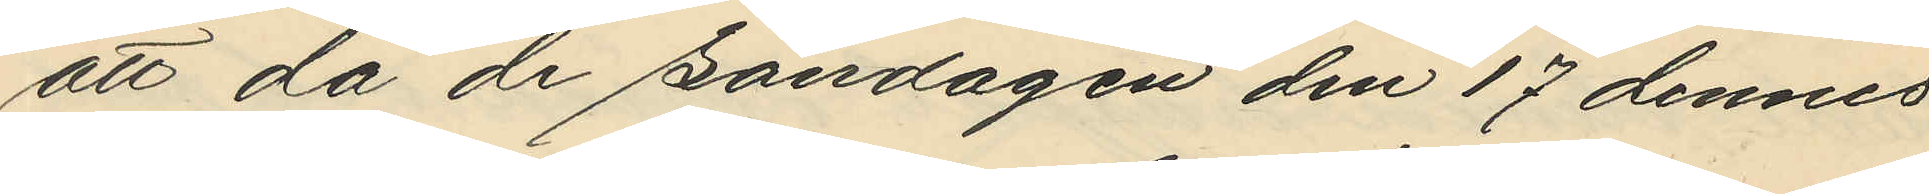att då de Söndagen den 17 dennes
